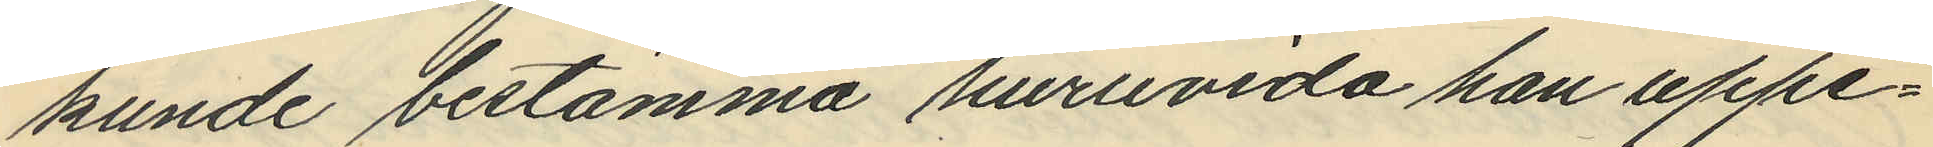kunde bestämma huruvida han uppe¬
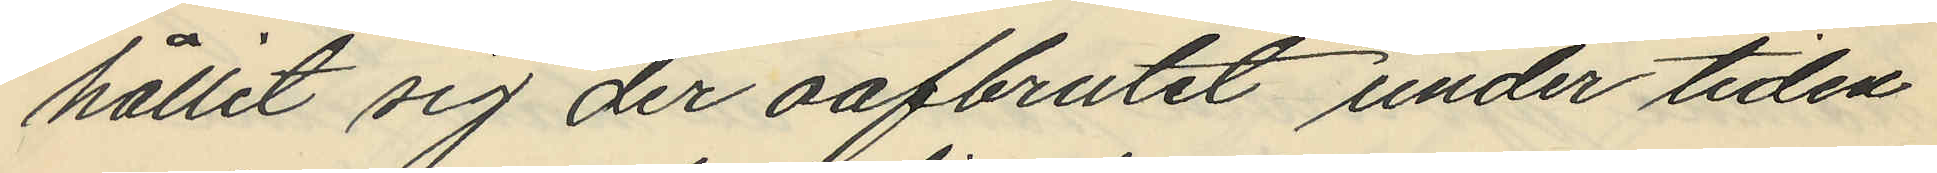hållit sig der oafbrutit under tiden
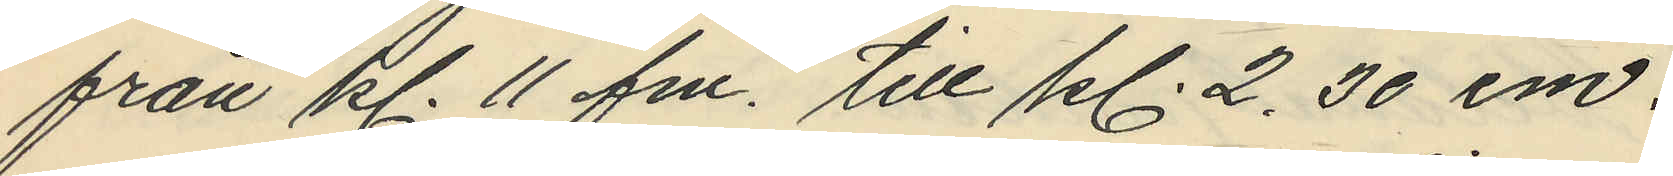från kl. 11 fm. till kl. 2.30 em.
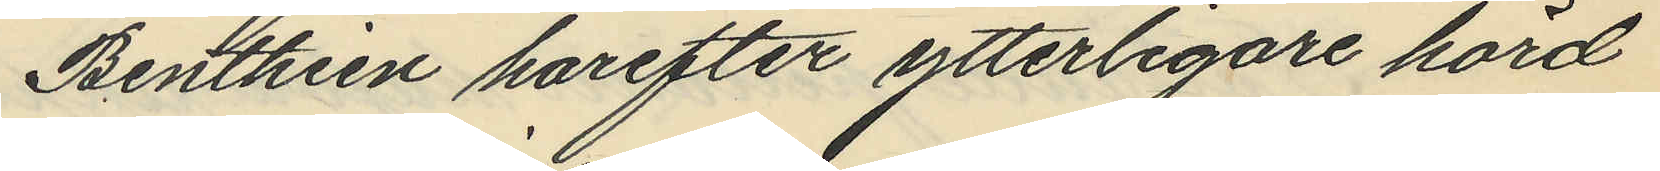Benthien harefter ytterligare hörd
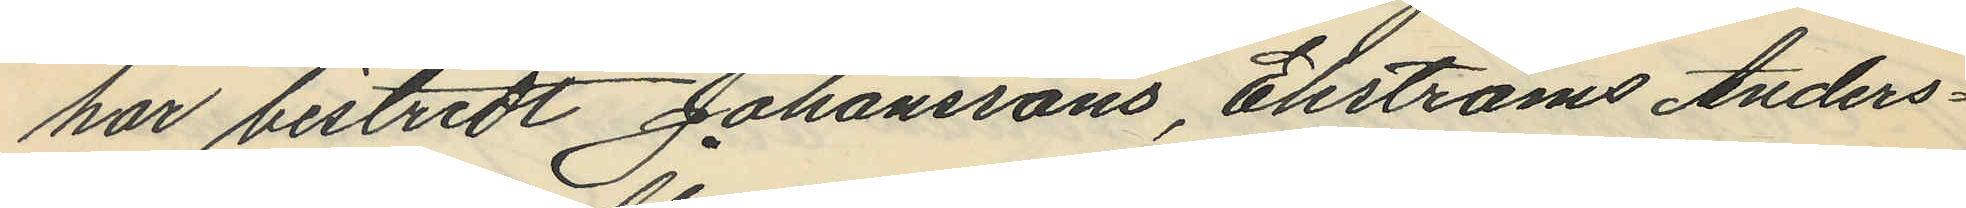har bistridt Johanssons, Ekströms Anders¬
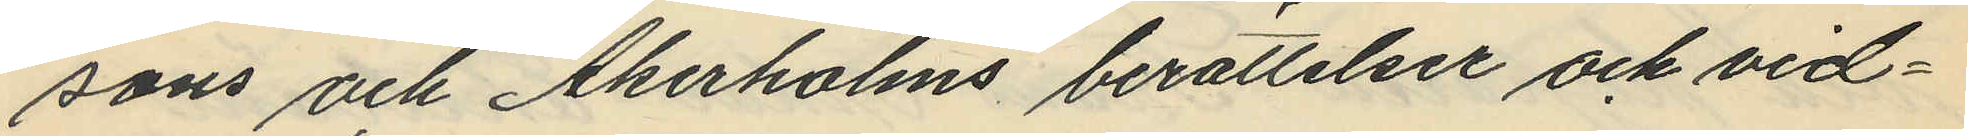sons och Åkerholms berättelser och vid¬
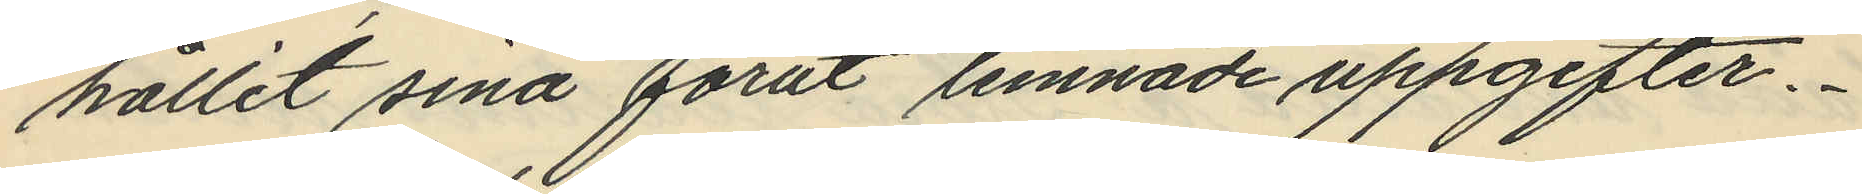hållit sina förut lemnade uppgifter.
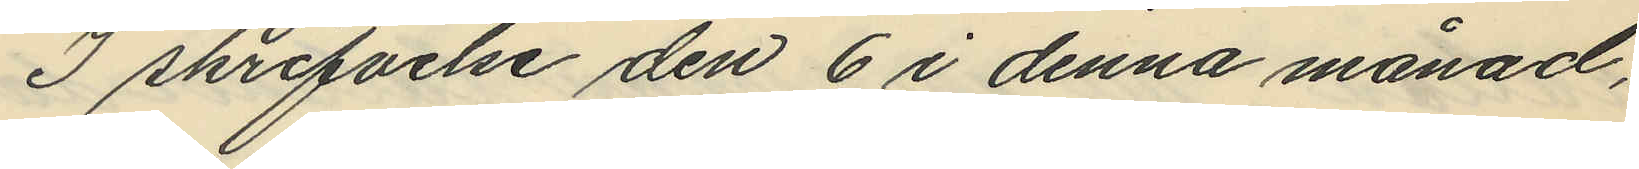I skrifvelse den 6 i denna månad,
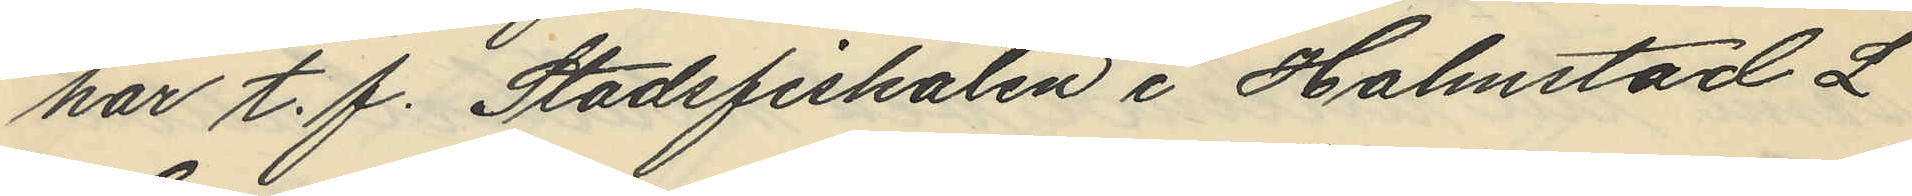har t. f. Stadsfiskalen i Halmstad L
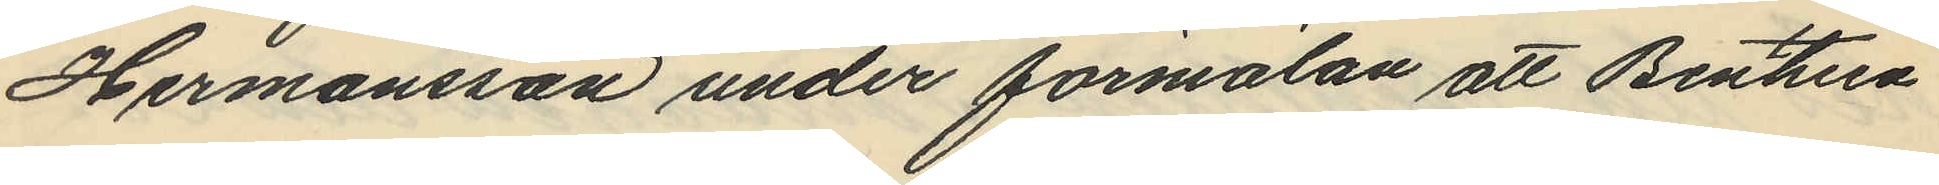Hermansson under förmälan att Benthien
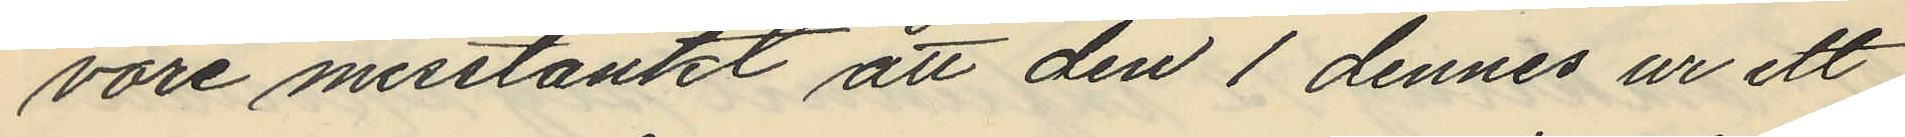vore misstänkt att den 1 dennes ur ett
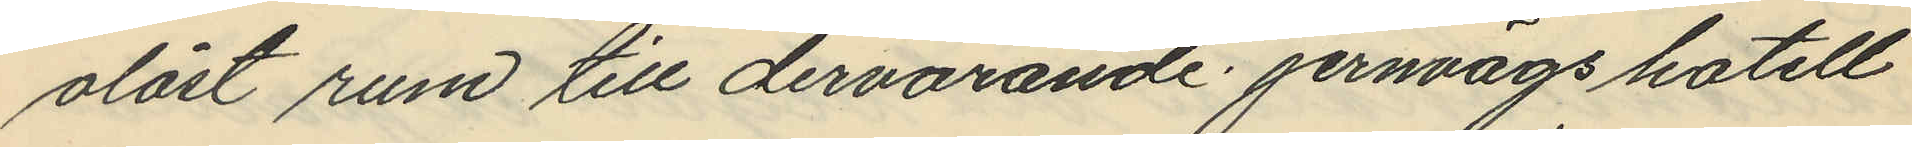olåst rum till dervarande jernvägshotell
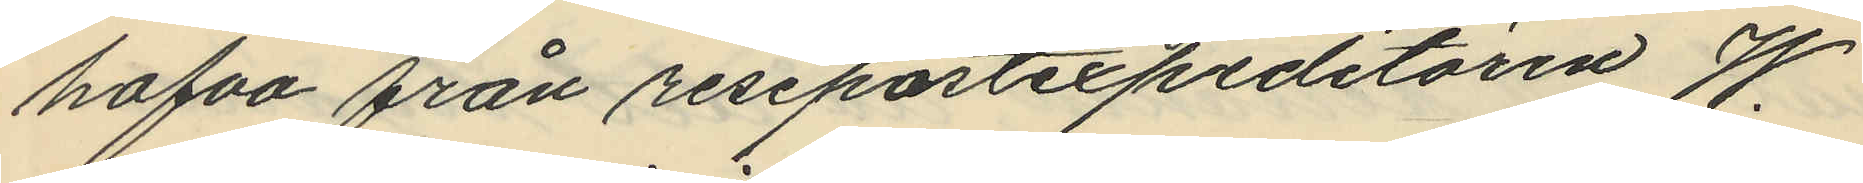hafva från resepostexpeditören W.
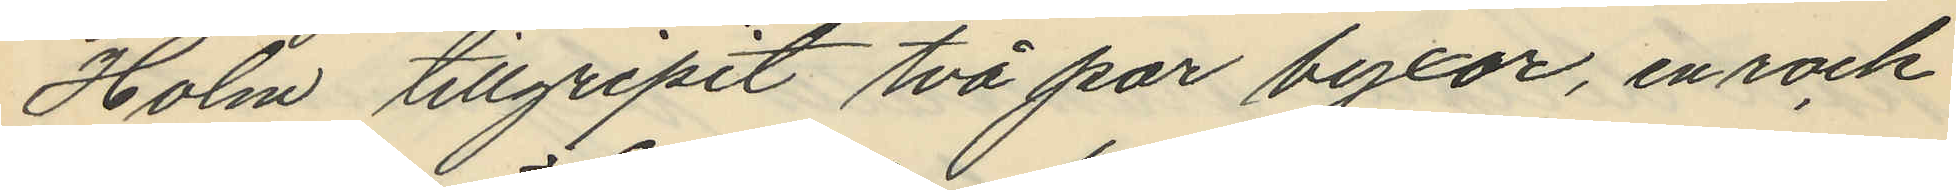Holm tillgripit två par byxor, en rock
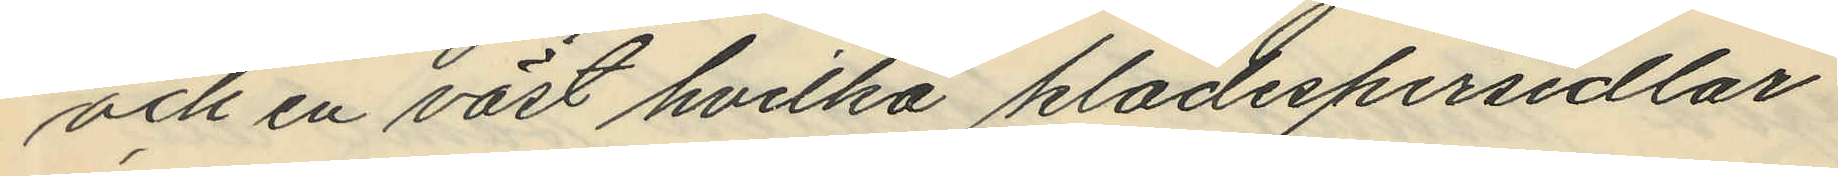och en väst hvilka klädespersedlar
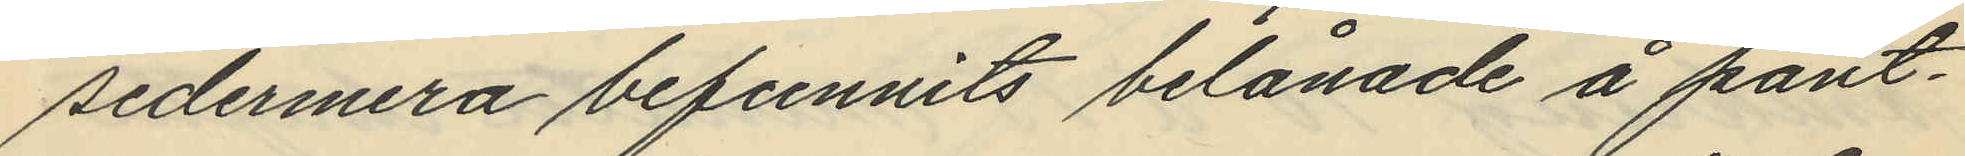sedermera befunnits belånade å pant¬
